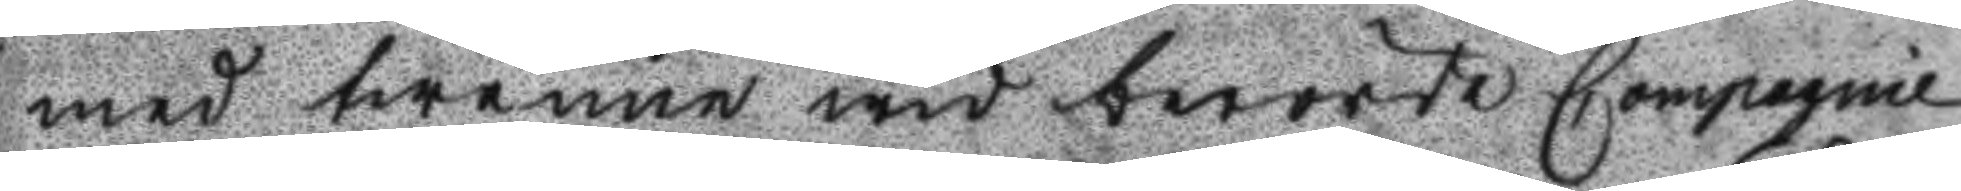med twenne wid berörde Compagnie
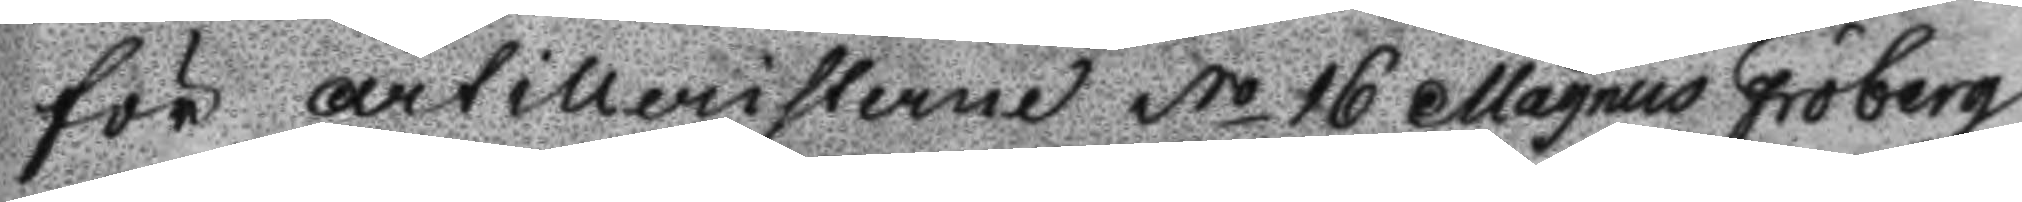för artilleristerne No 16 Magnus Fröberg
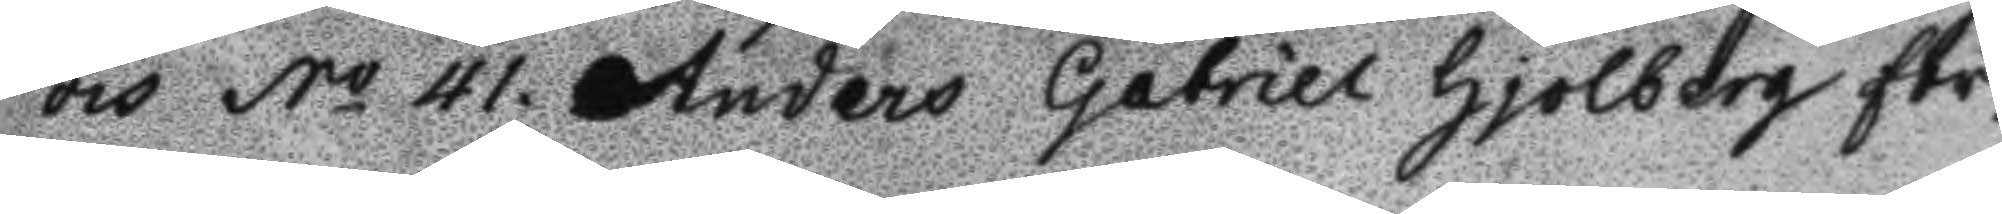och No 41 Anders Gabriel Hjolberg för
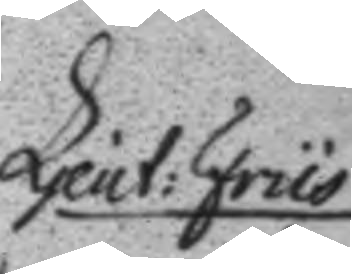Ljeut: Friis
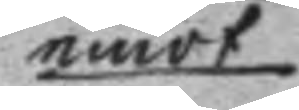emot
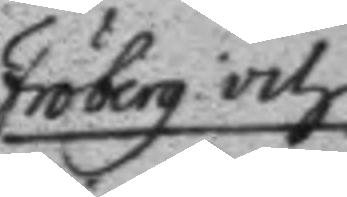Fröberg och
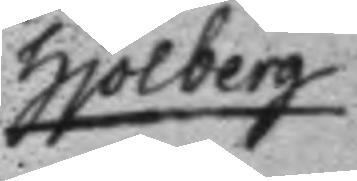Hjolberg
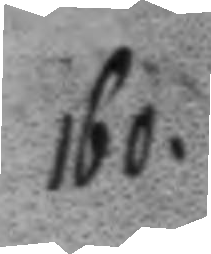160.
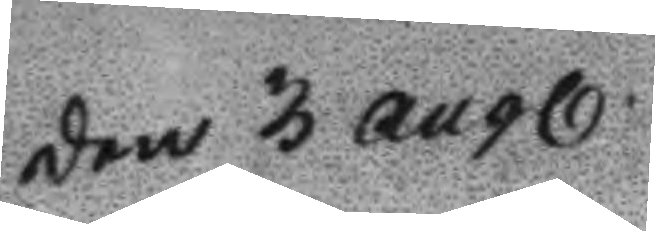Den 3 augl.
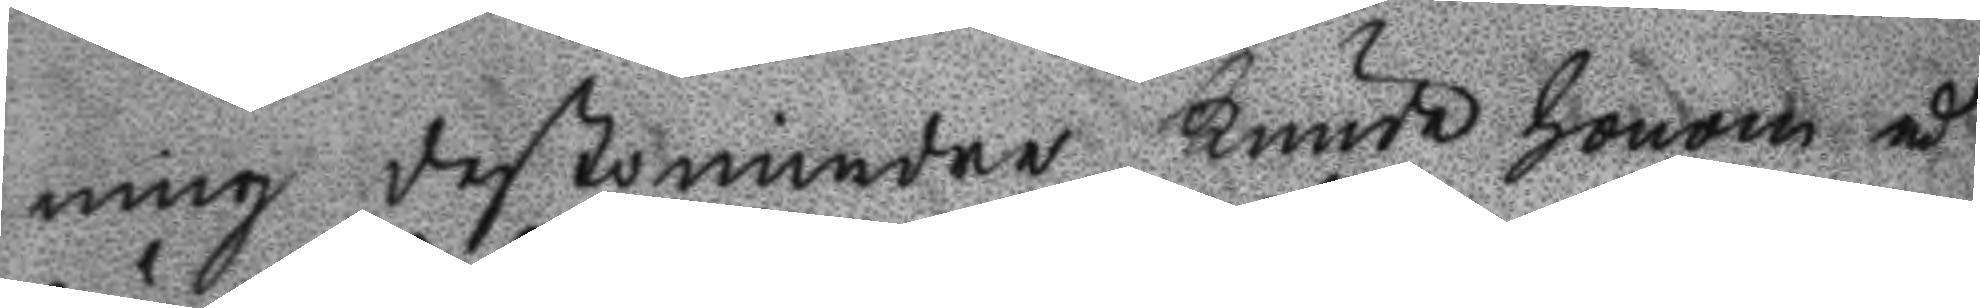ning destomindre kunda honom å
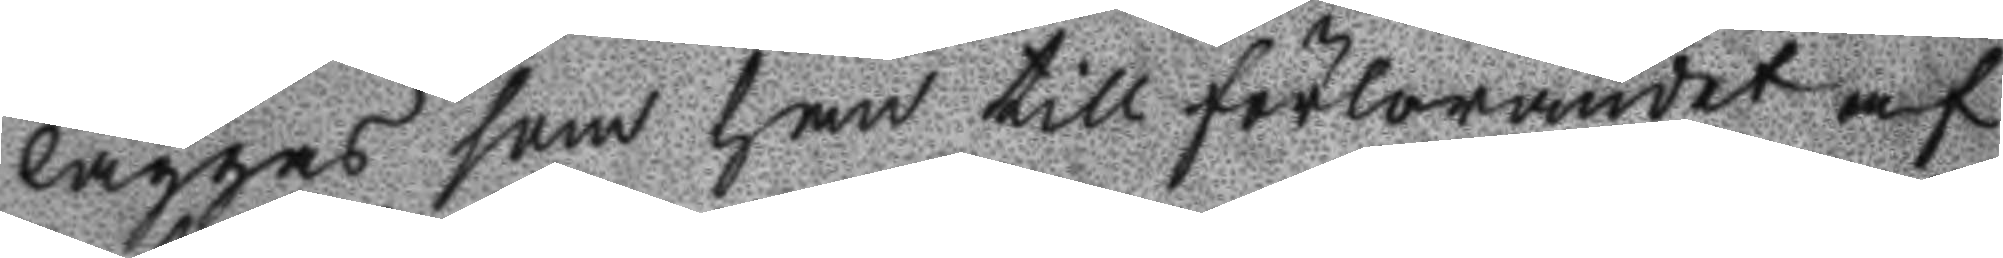läggas som han till förlorandet af
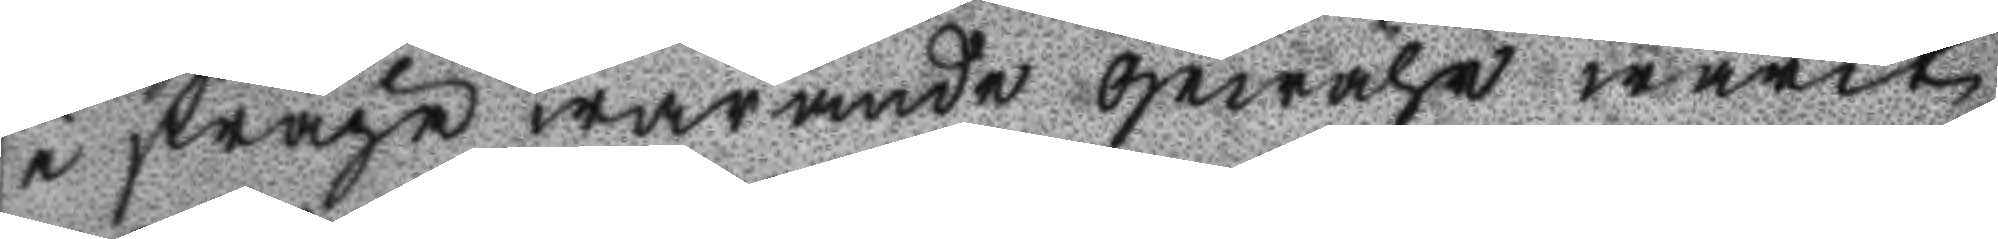i fråga warande gewär warit
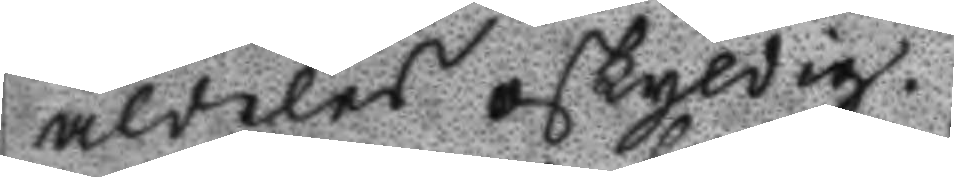aldeles oskyldig.
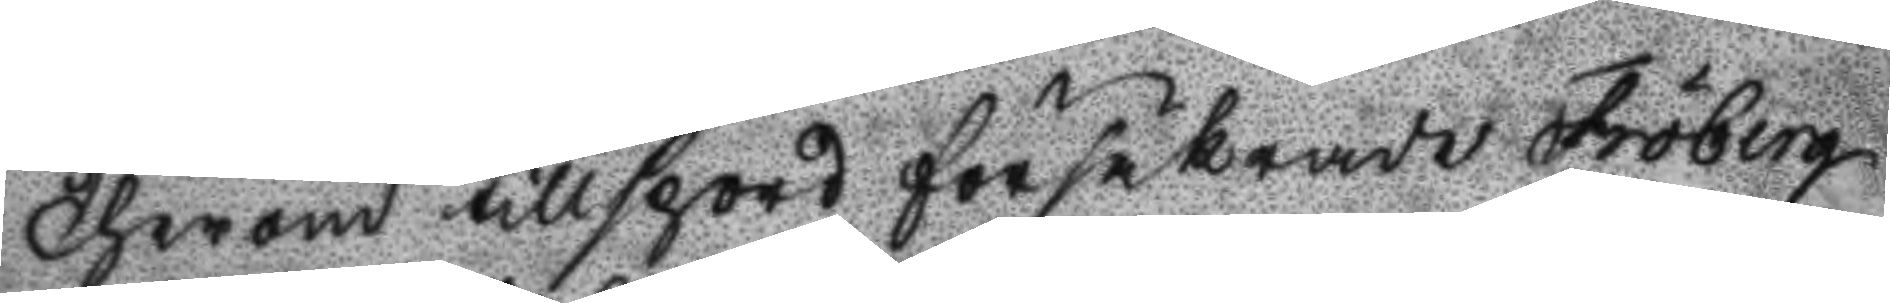Therom tillspord försäkrade Fröberg
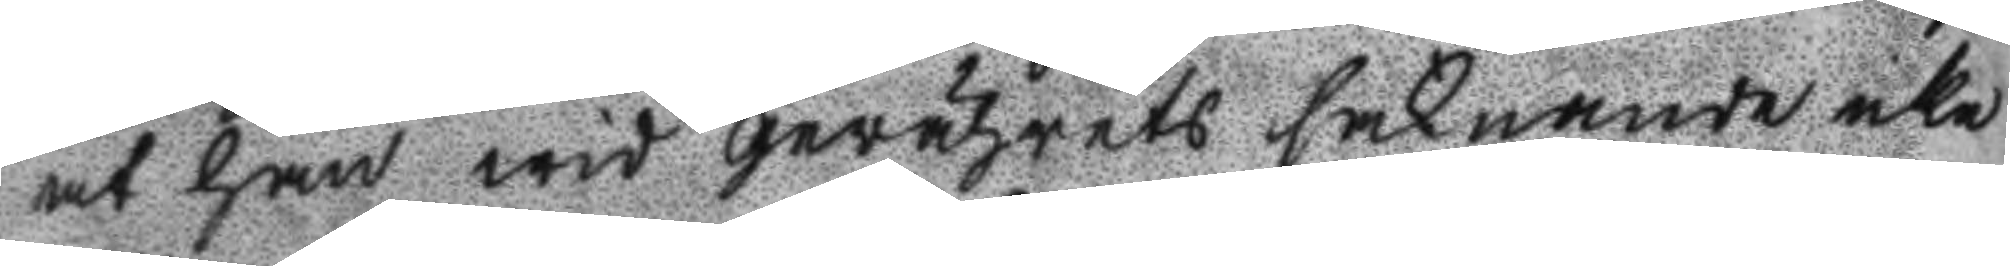at han wid gevährets saknande icke
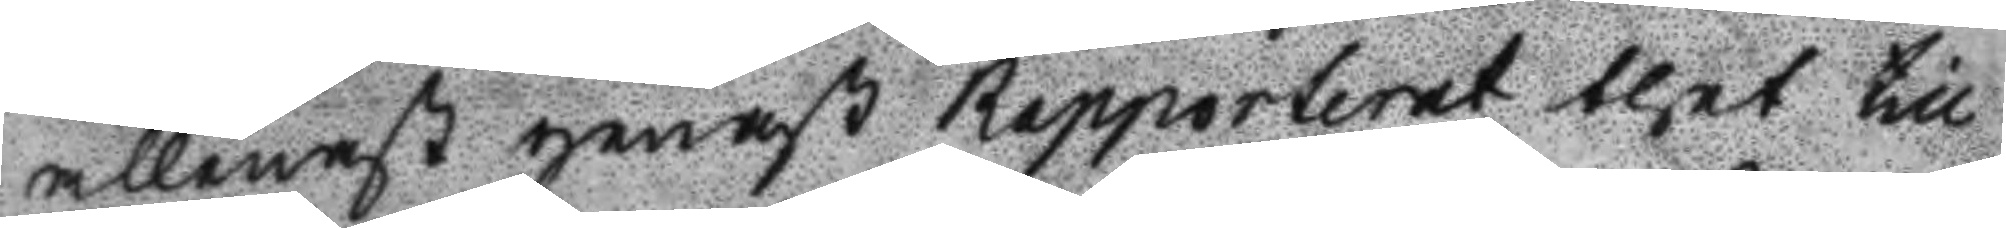allenast genast Rapporterat thet till
